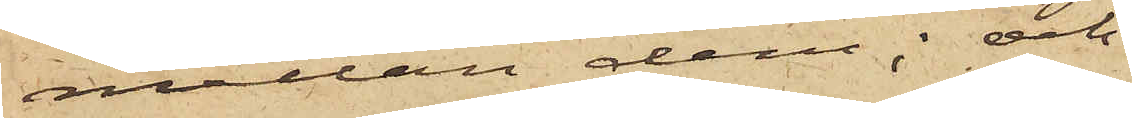mellan dem, och
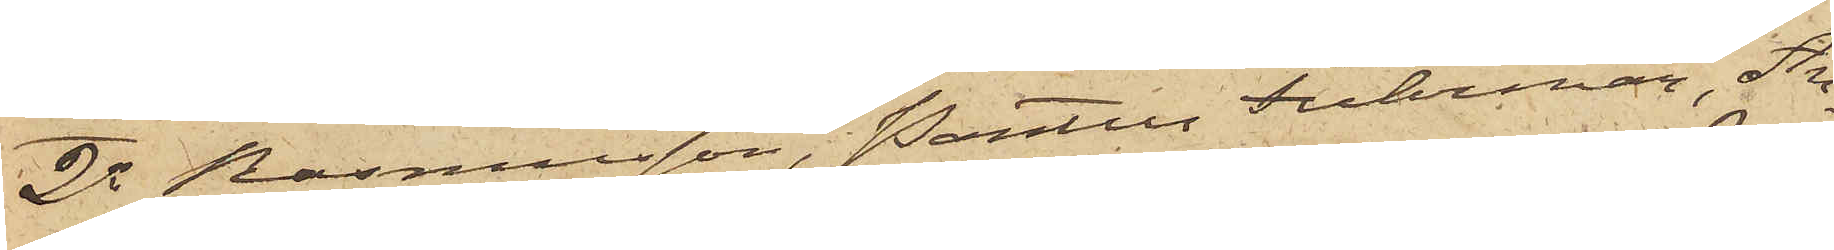2o Rasmusson, Pontus Fuhrman, An¬
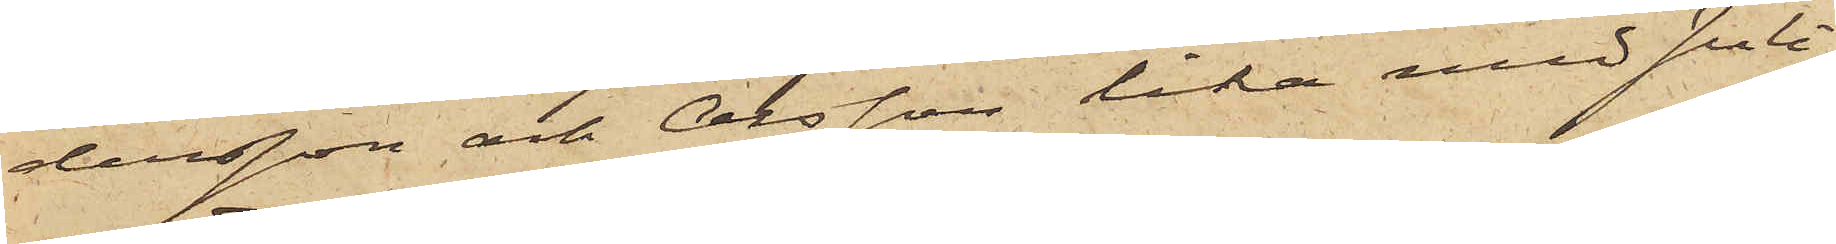dersson och Olsson lika med Juli¬
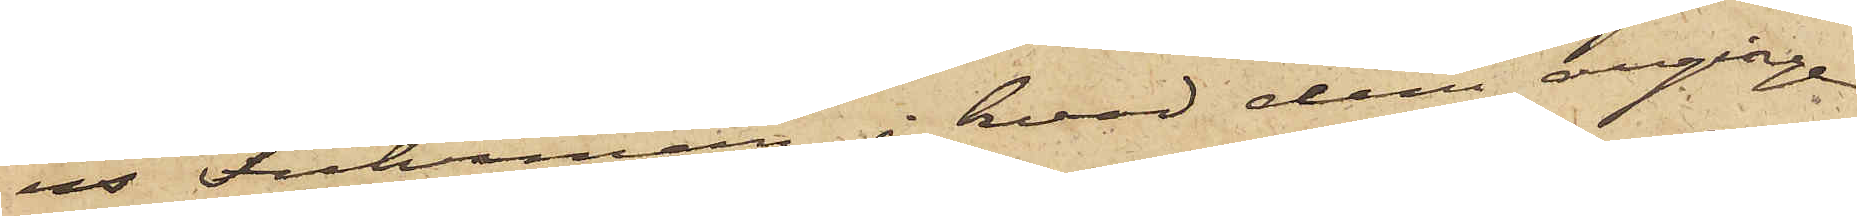us Fuhrman i hvad dem anginge
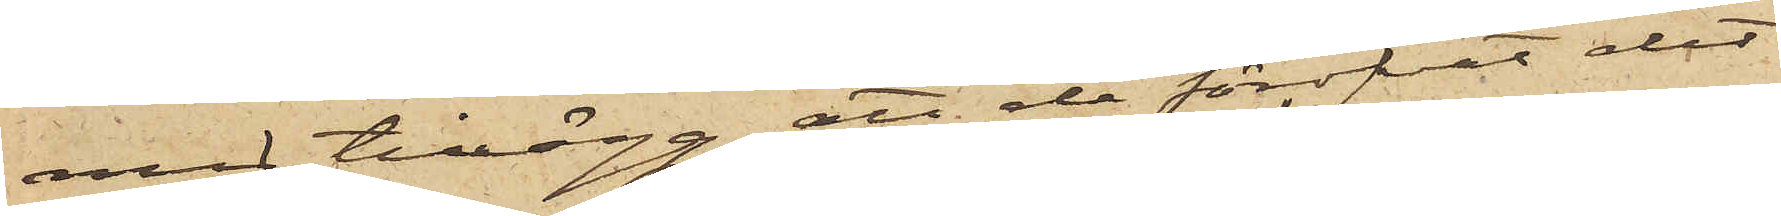med tillägg, att de föröfvat det
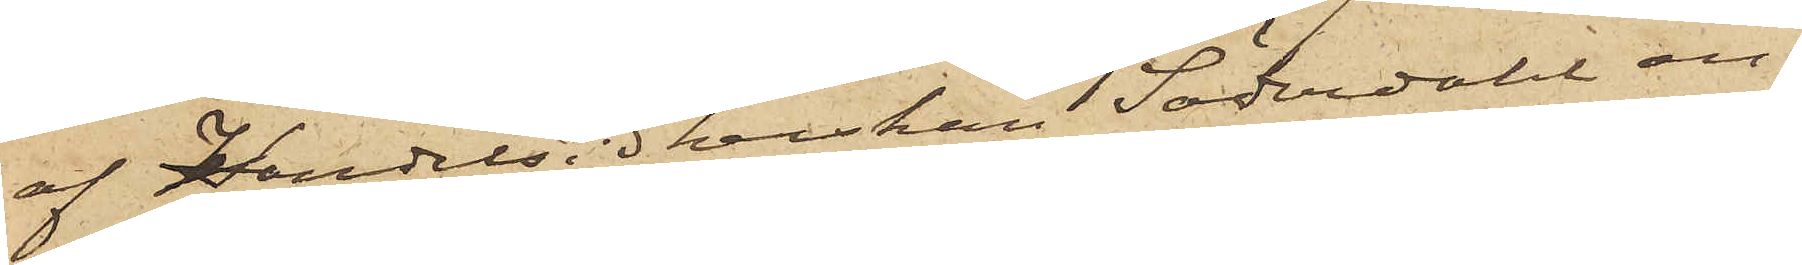af Handelsidkerskan Söderdahl an¬
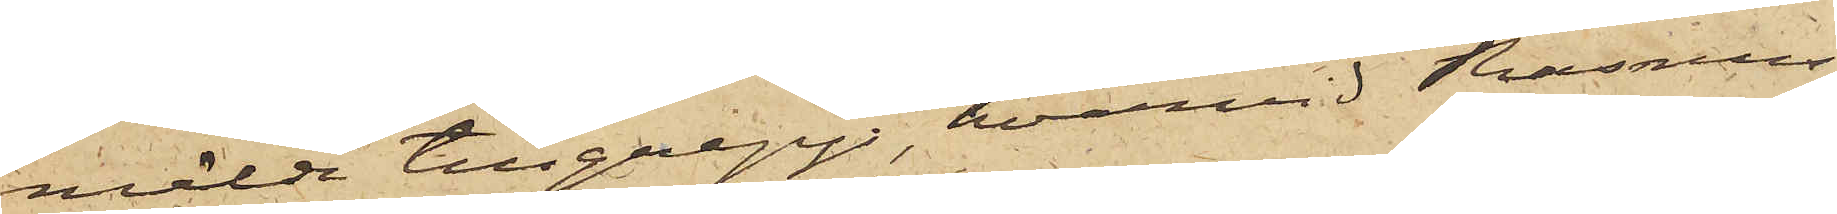mälde tillgrepp, hvarvid Rasmus¬
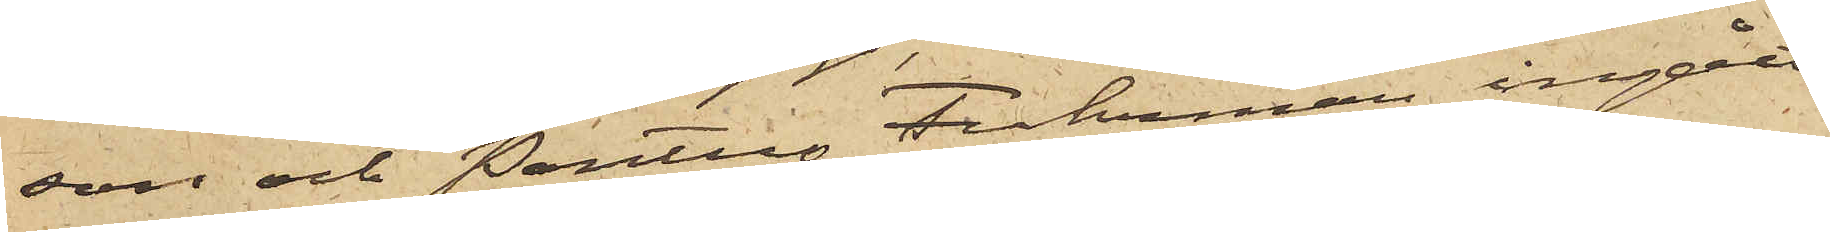son och Pontus Fuhrman ingått
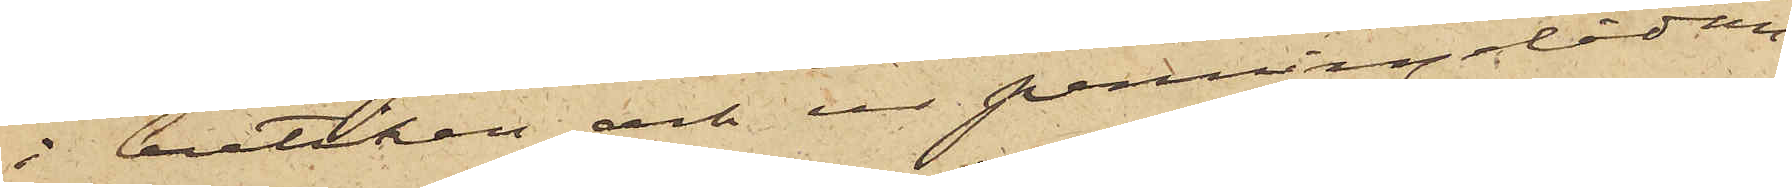i butiken och ur penningelådan
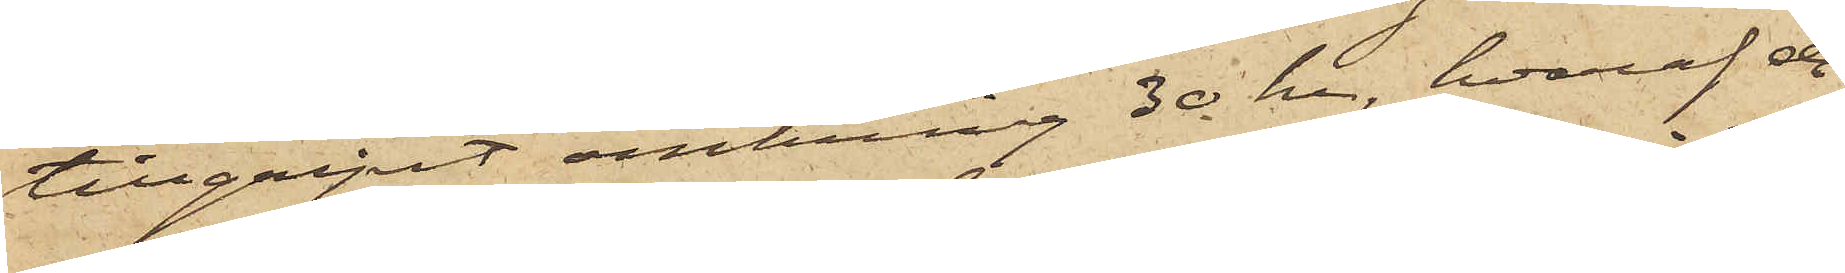tillgripit omkring 30 kr, hvaraf de
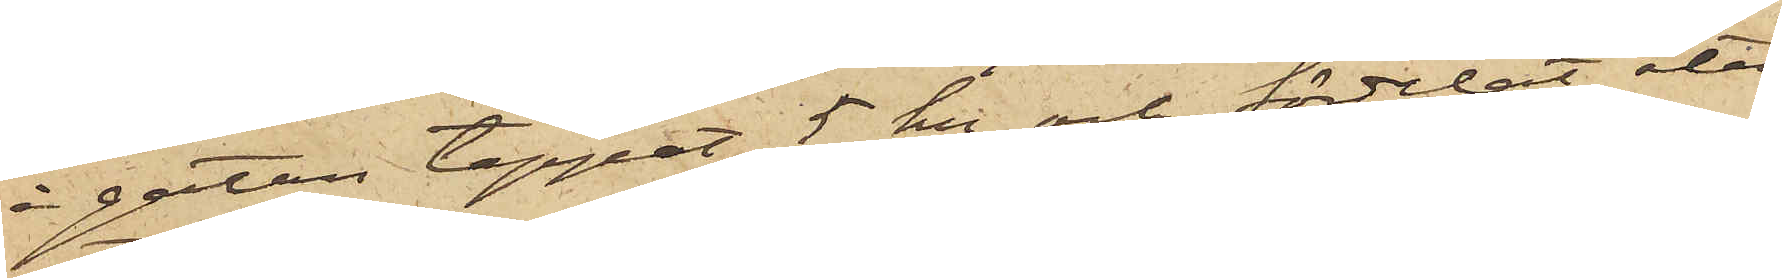å gatan tappat 5 kr och fördelat åter¬
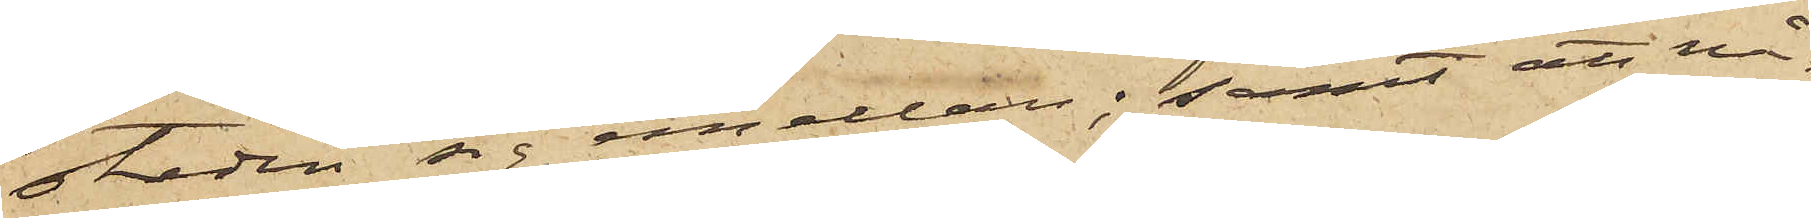stoden sig emellan; samt att nå¬
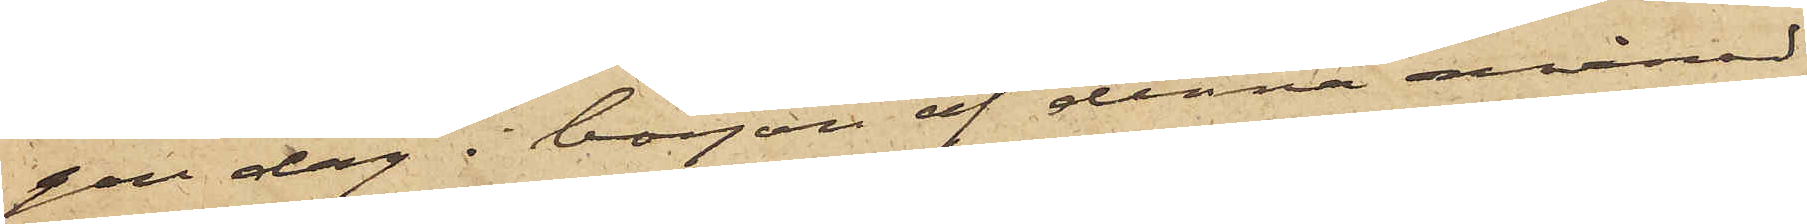gon dag i början af denna månad
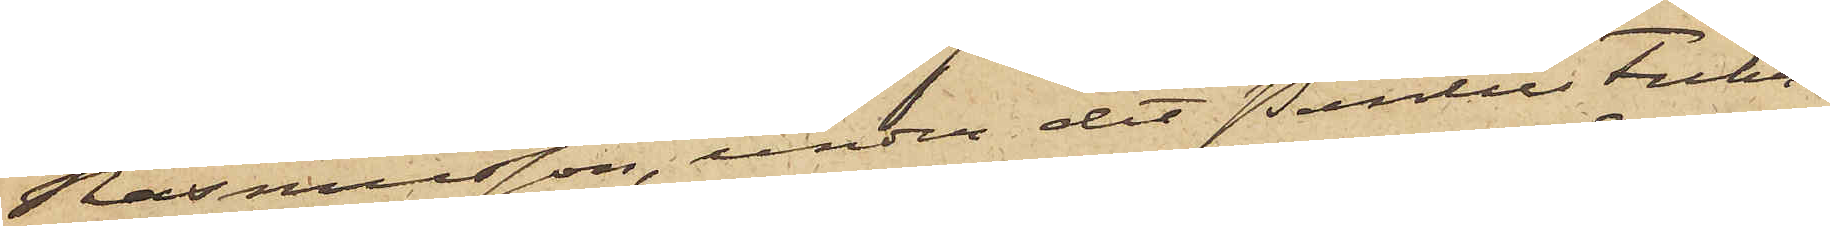Rasmusson, under det Pontus Fuhr¬
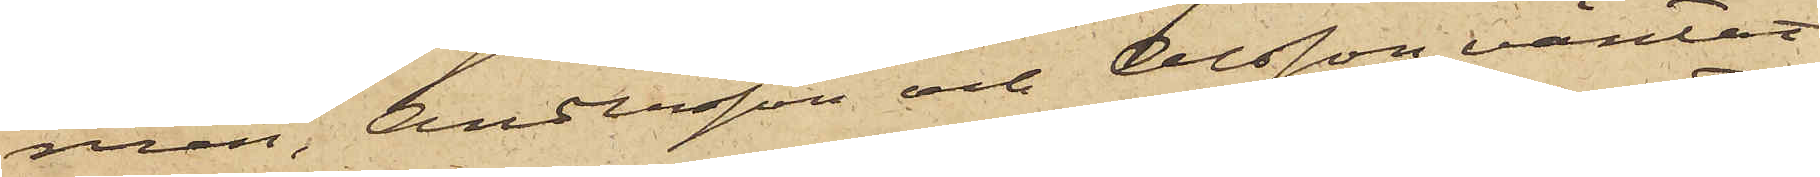man, Andersson och Olsson väntat
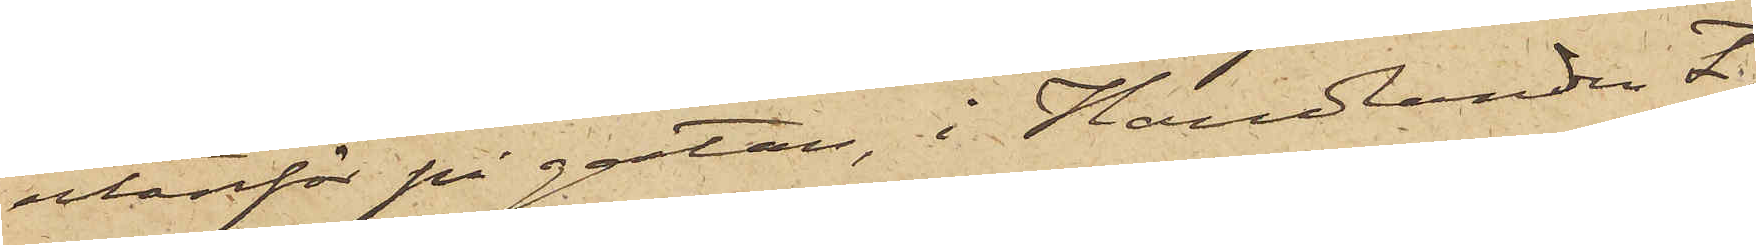utanför på gatan, i Handlanden F.
